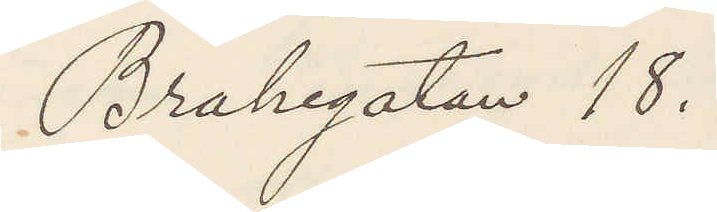Brahegatan 18.
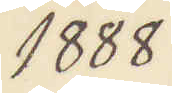1888.
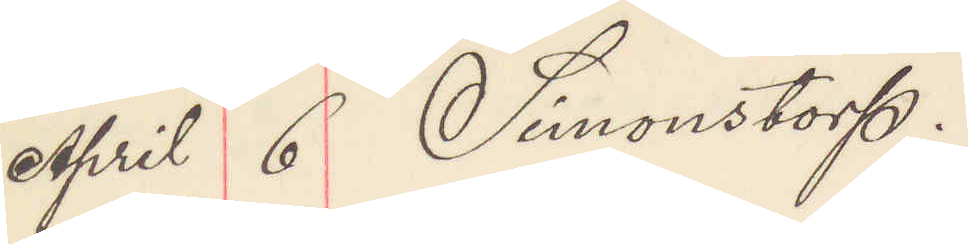April 6 Simonstorp.
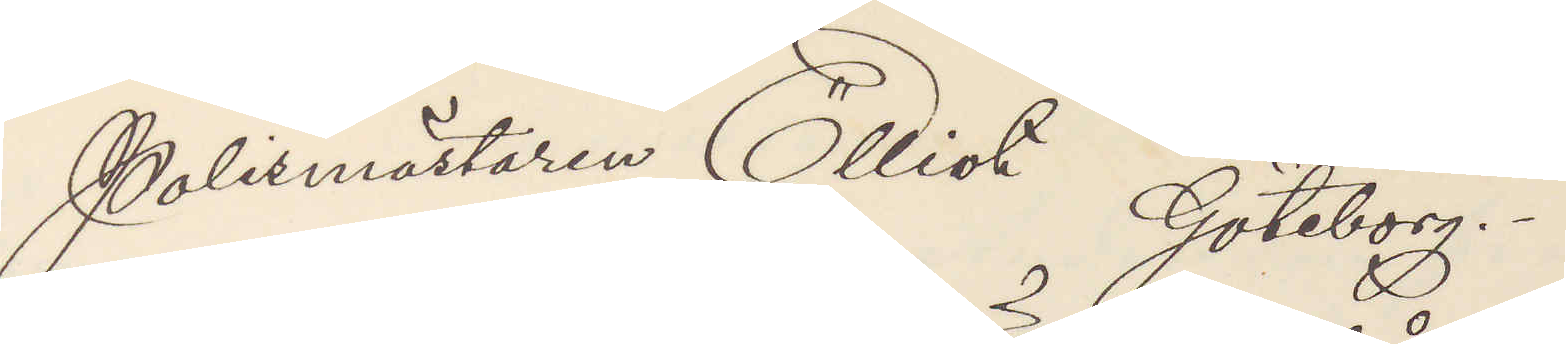Polismästaren Elliot Göteborg.
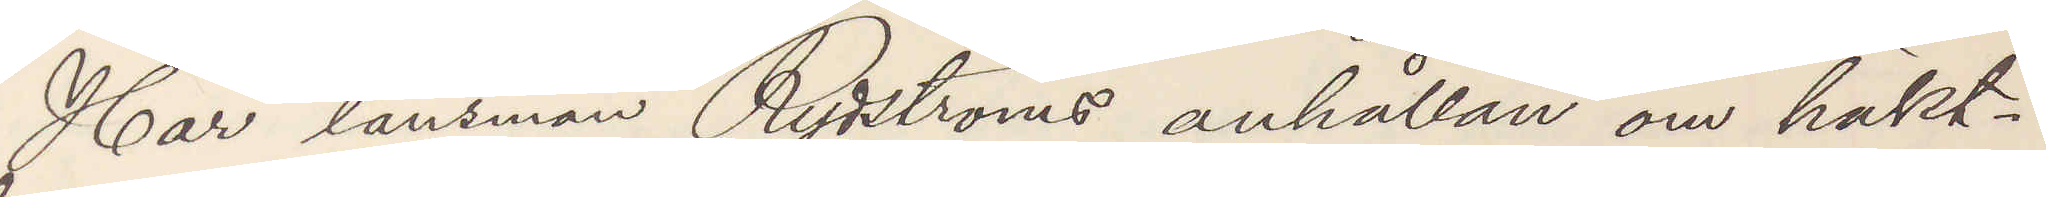Har länsman Rydströms anhållan om häkt¬
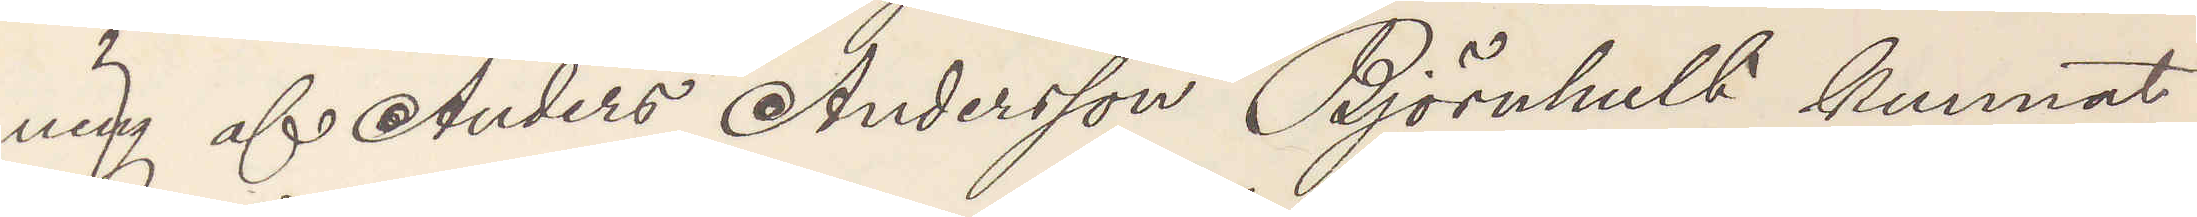ning af Anders Andersson Björnhult kunnat
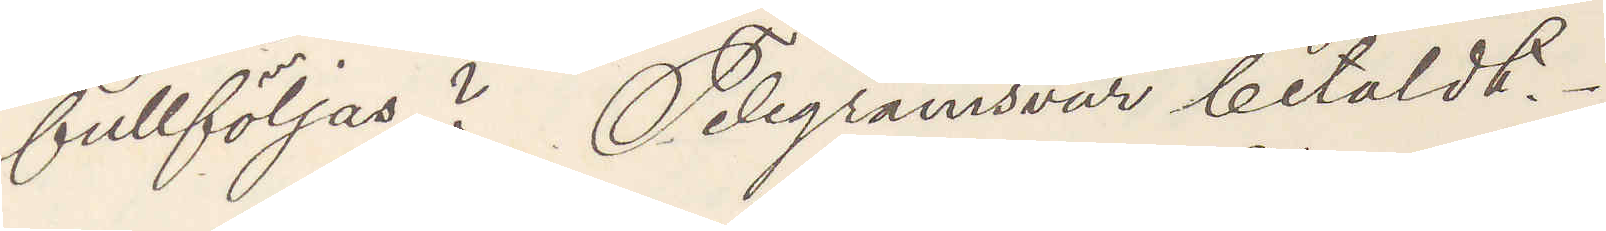fullföljas? Telegramsvar betaldt.
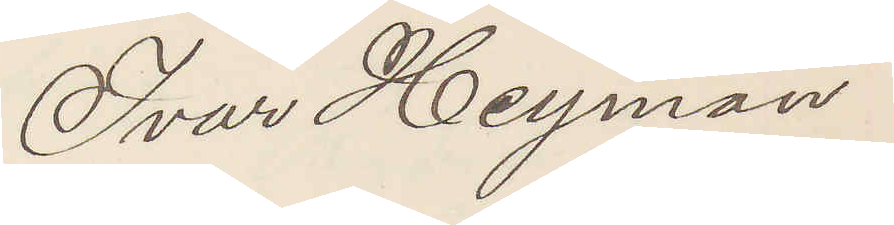Ivar Heyman
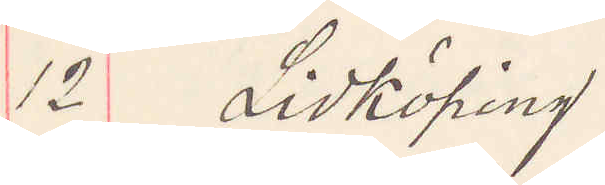12 Lidköping
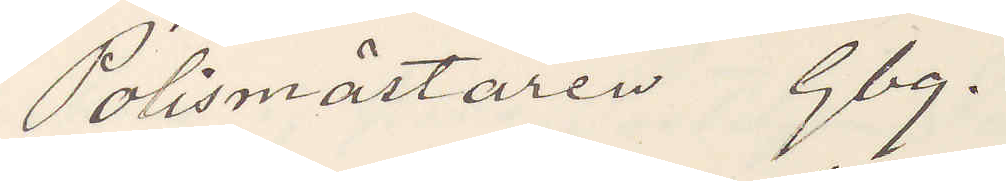Polismästaren Gbg.
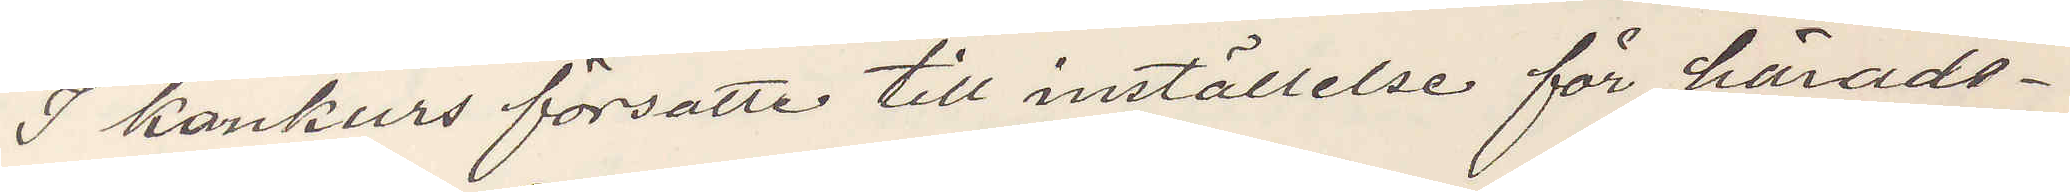I konkurs försatte till inställelse för härads¬
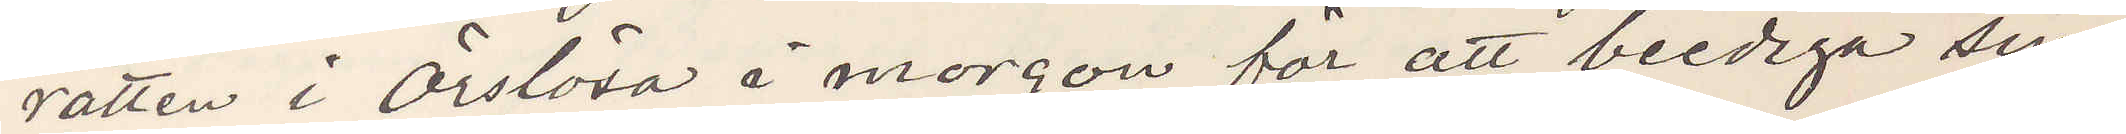rätten i Örslösa i morgon för att beediga sin
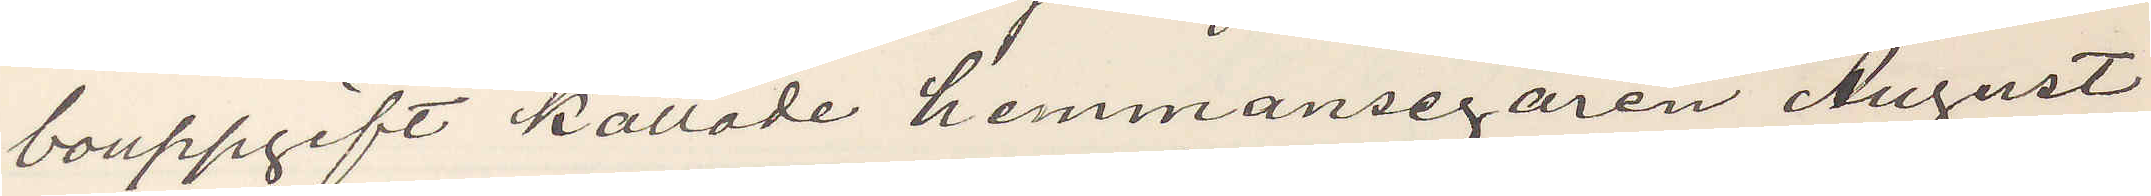bouppgift kallade hemmansegaren August
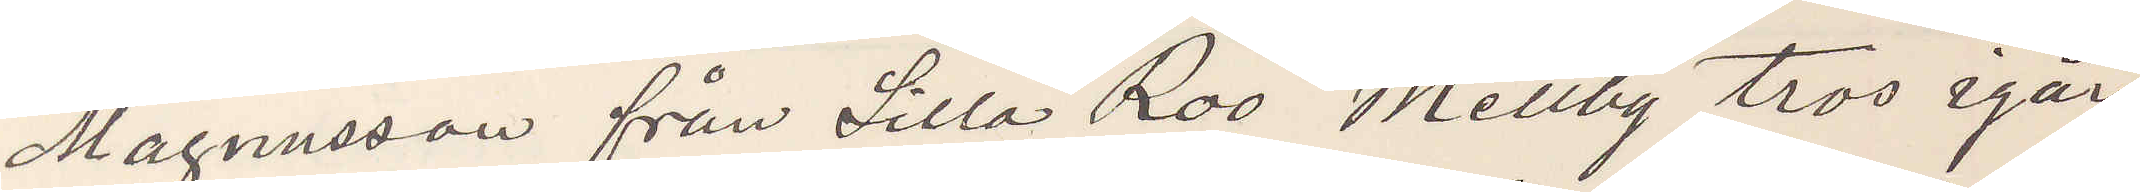Magnusson från Lilla Roo Mellby tros igår
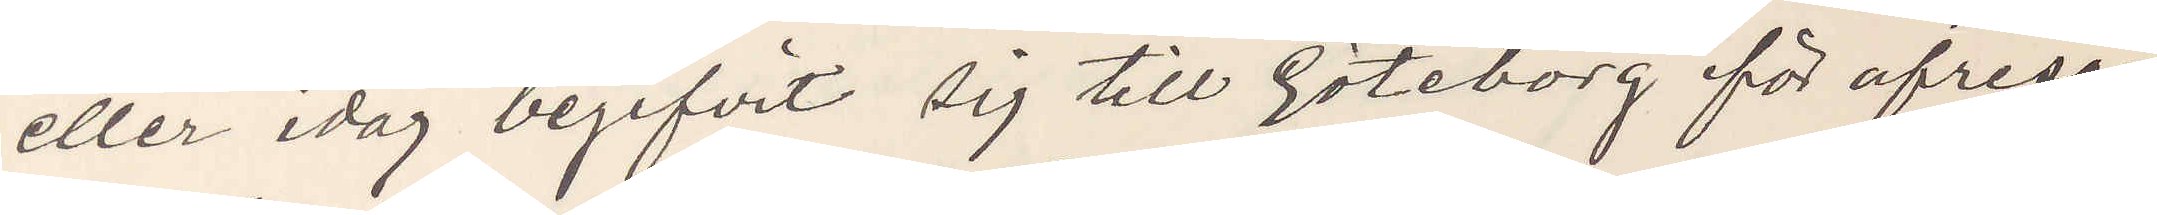eller idag begifvit sig till Göteborg för afresa
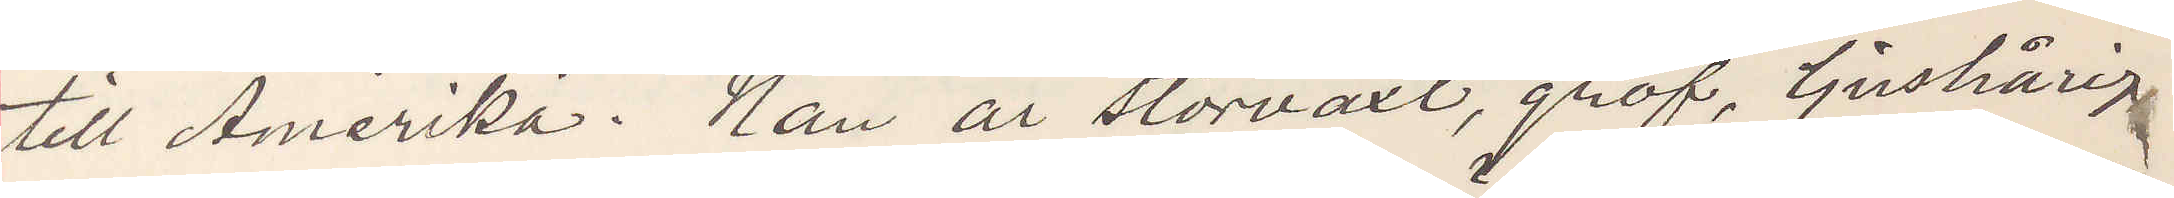till Amerika. Han är storväst, grof, ljushårig
